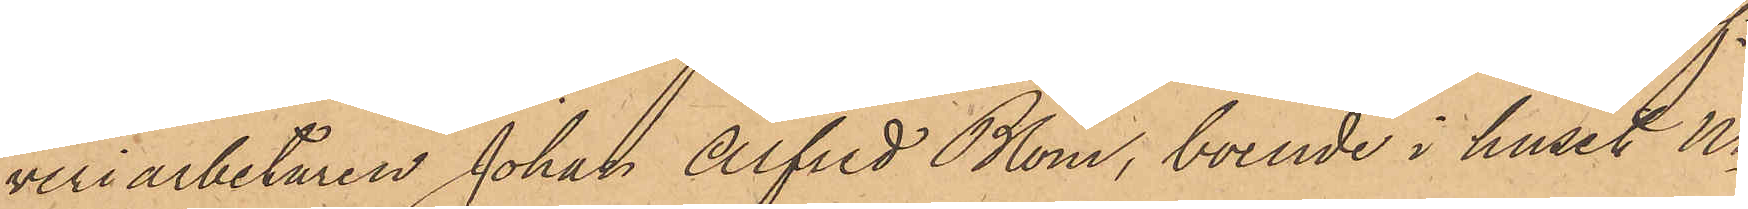veriarbetaren Johan Alfred Blom, boende i huset No
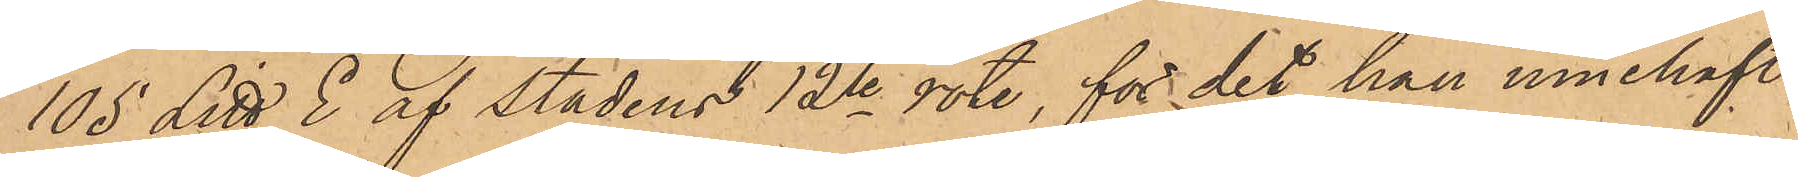105 Litt E af stadens 12te rote, för det han innehaft
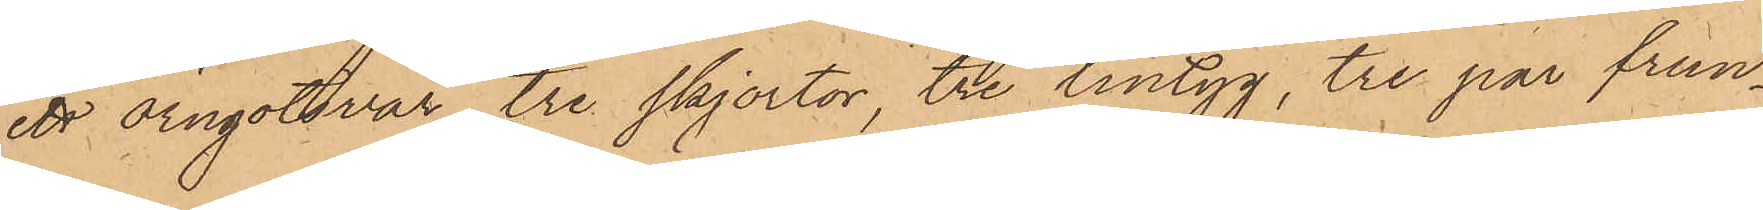ett Örngotsvar, tre skjortor, tre lintyg, tre par frun¬
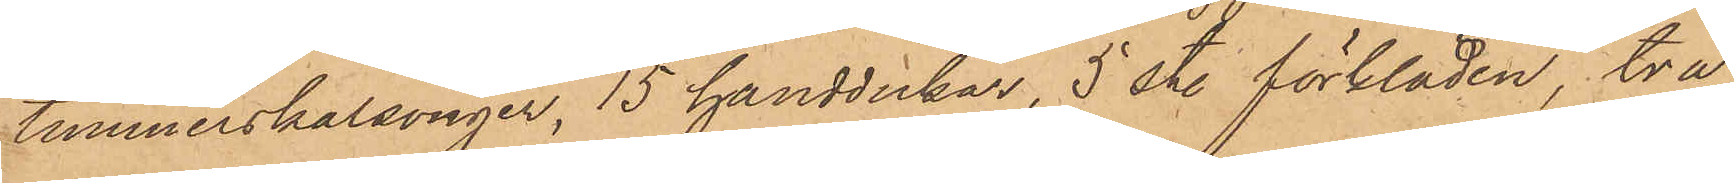timmerskalsonger, 15 handdukar, 5 st. förkläden, två
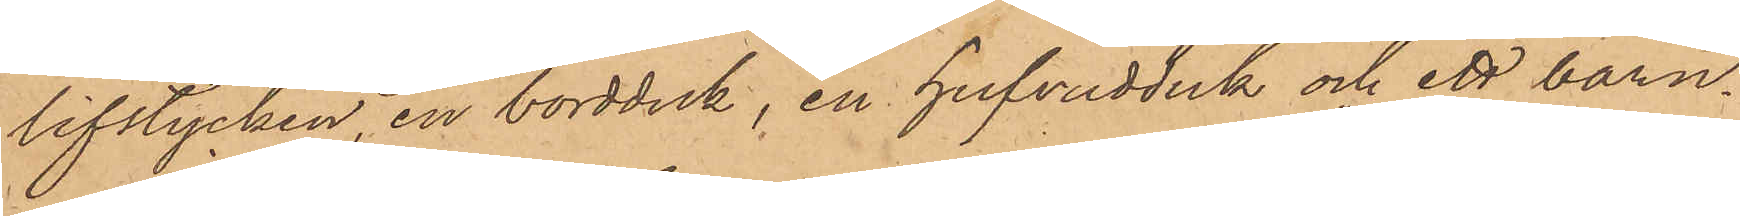lifstycken, en bordduk, en hufvudduk och ett barn¬
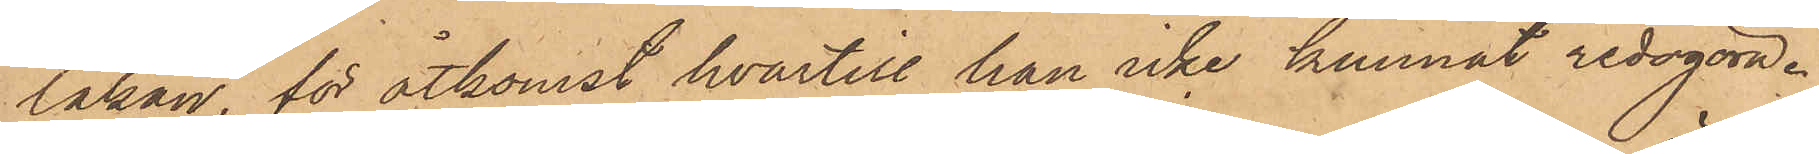lakan, för åtkomst hvartill han icke kunnat redogöra.
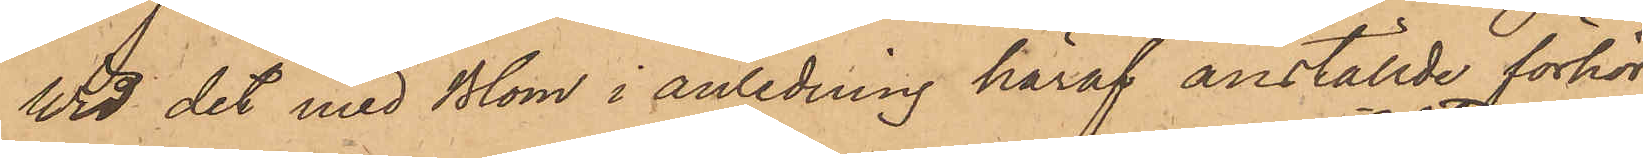Wid det med Blom i anledning häraf anställde förhör
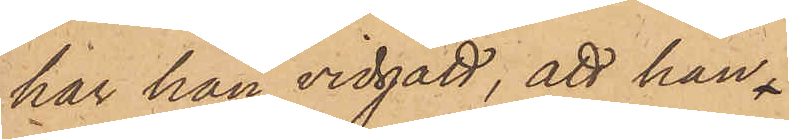har han vidgått, att han
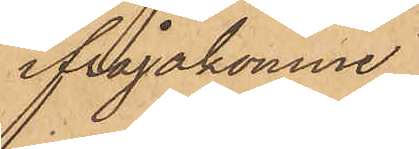ifrågakomne
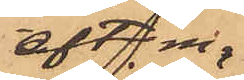eft. m.
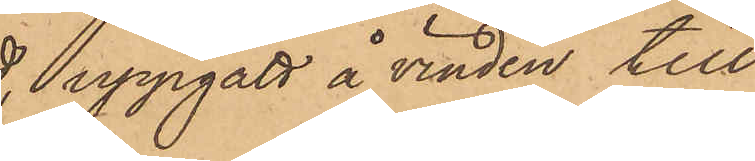uppgått å vinden till
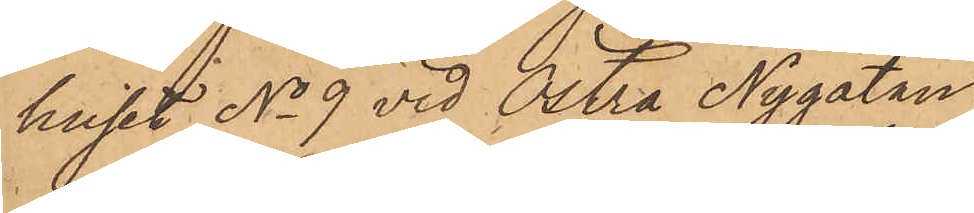huset No 9 vid Östra Nygatan
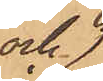och 
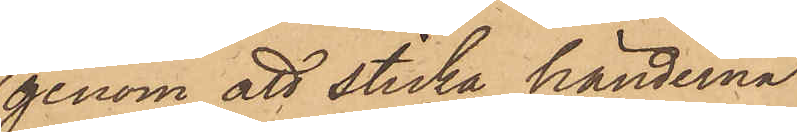genom att sticka händerna
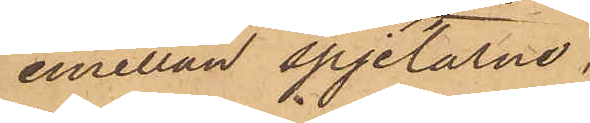emellan spjelarne;
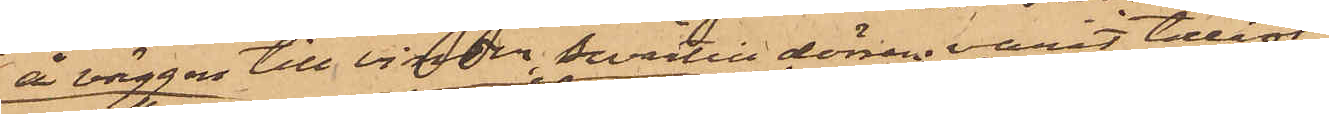å väggen till vinden, hvartill dörren varit tillåst
